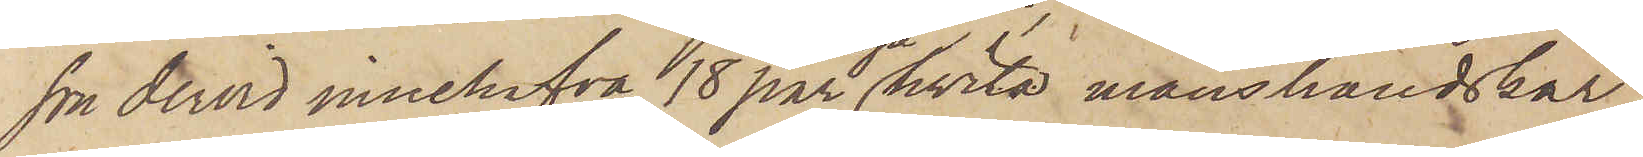son dervid innehafva 18 par nya hvita manshandskar,
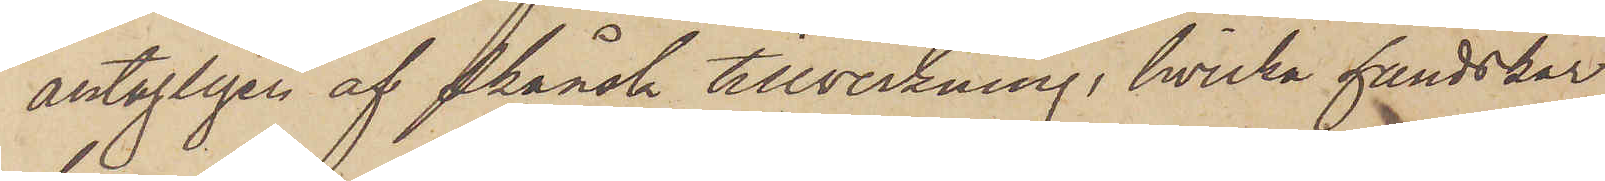antagligen af skånsk tillverkning, hvilka handskar
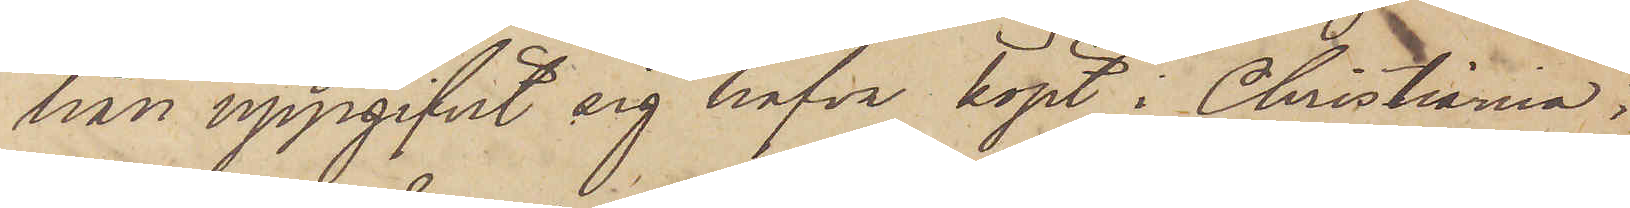han uppgifvit sig hafva köpt i Christiania;
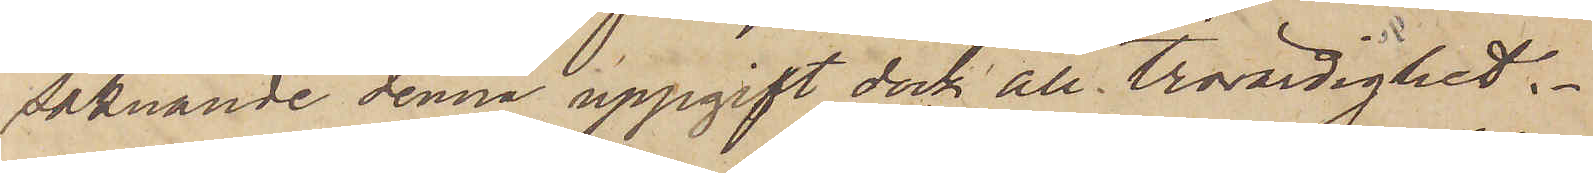saknande denna uppgift dock all trovärdighet.
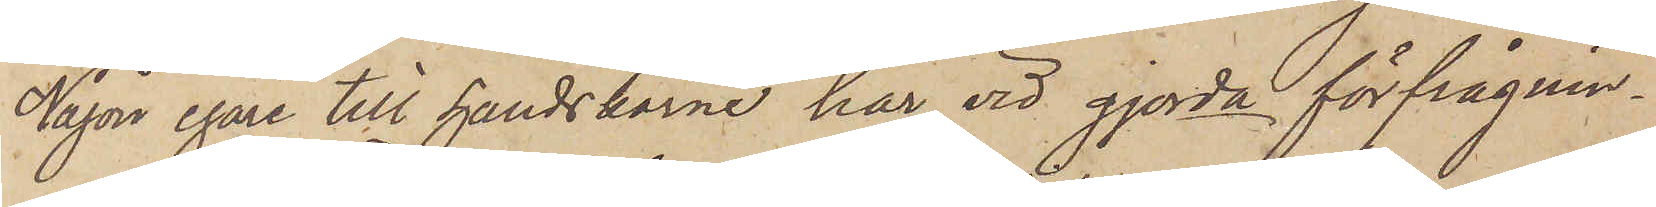Någon egare till handskarne har vid gjorda förfrågnin¬
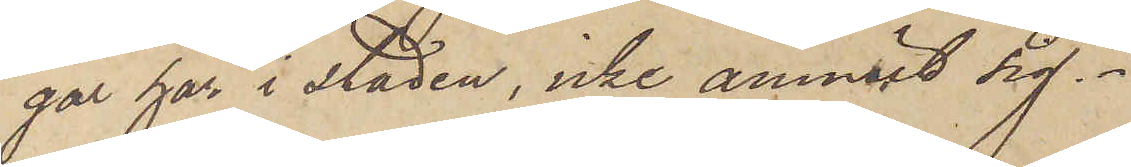gar här i staden, icke anmält sig.
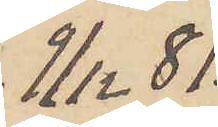9/12  81.
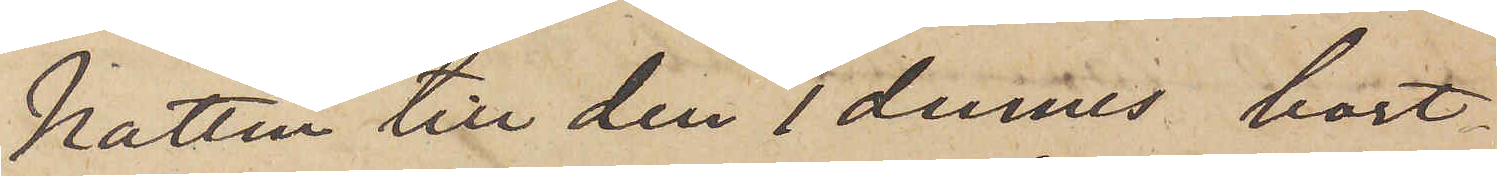Natten till den 1 dennes bort¬
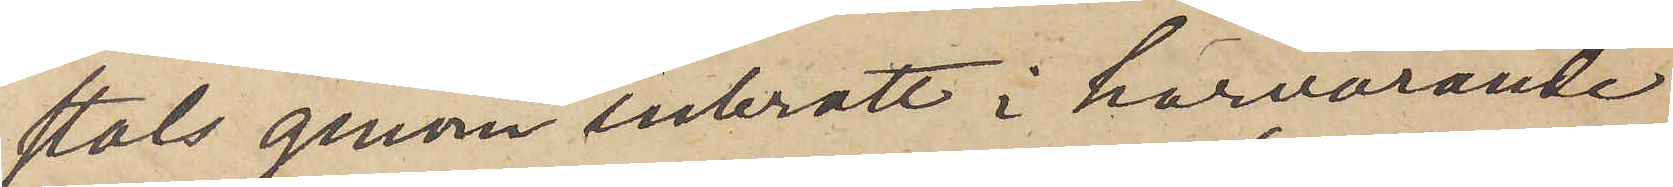stals genom inbrott i härvarande
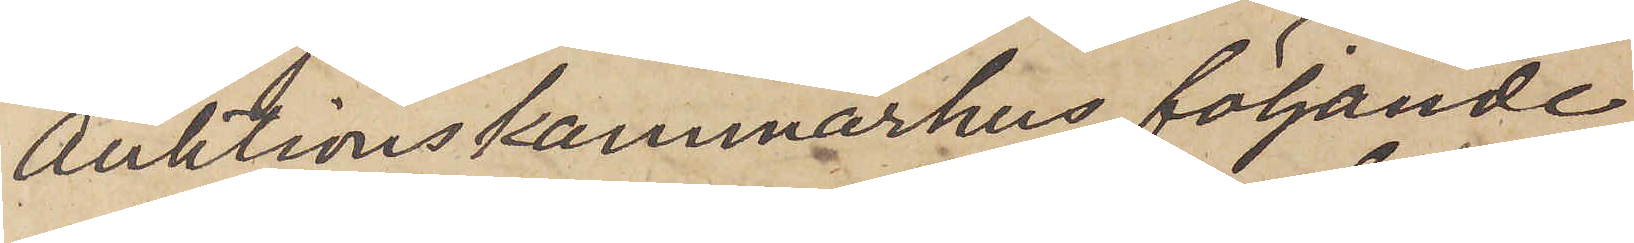Auktionskammarhus följande
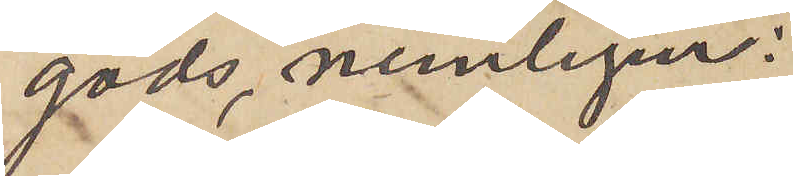gods, nemligen:
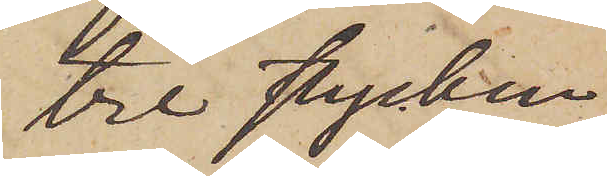tre stycken
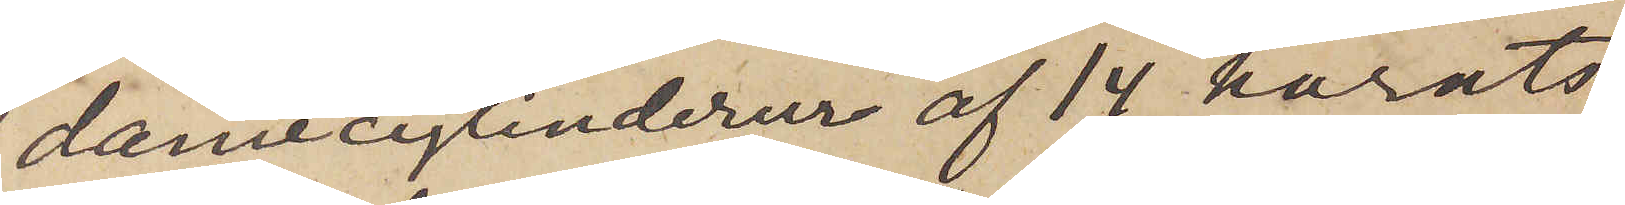damecylinderur af 14 karats
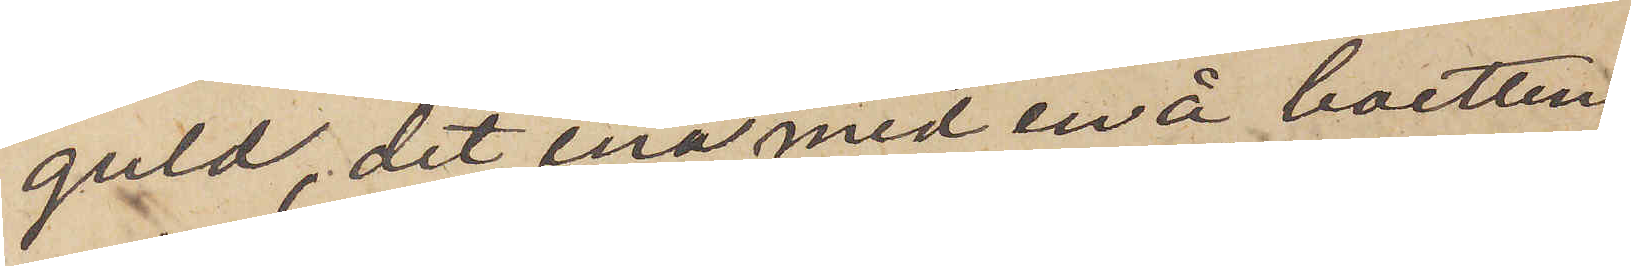guld, det ena med en å boettens
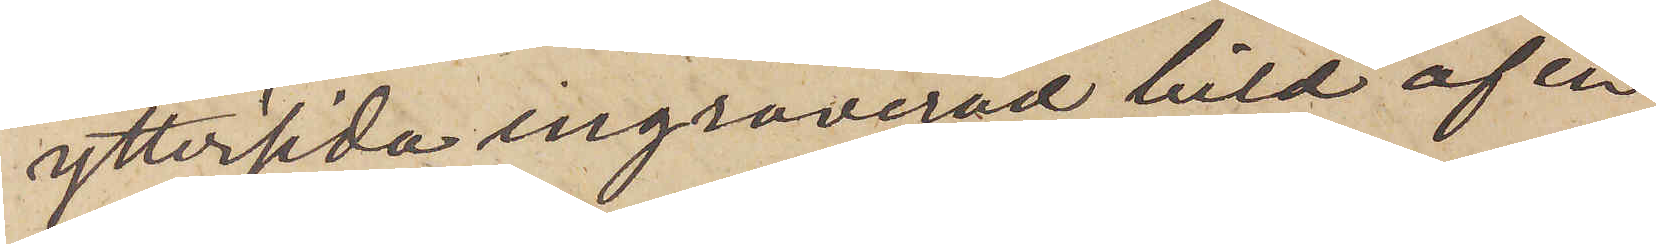yttersida ingraverad bild af en
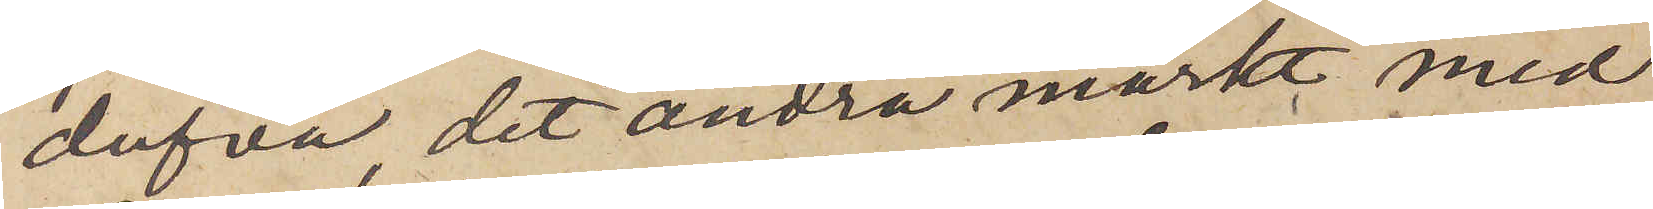dufva, det andra märkt med
